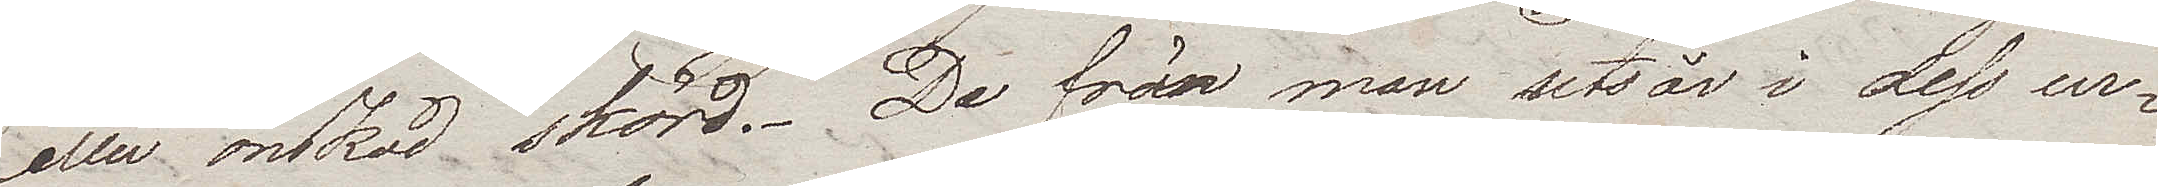eller önskad skörd. De frön man utsår i dess ur¬
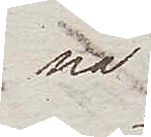na
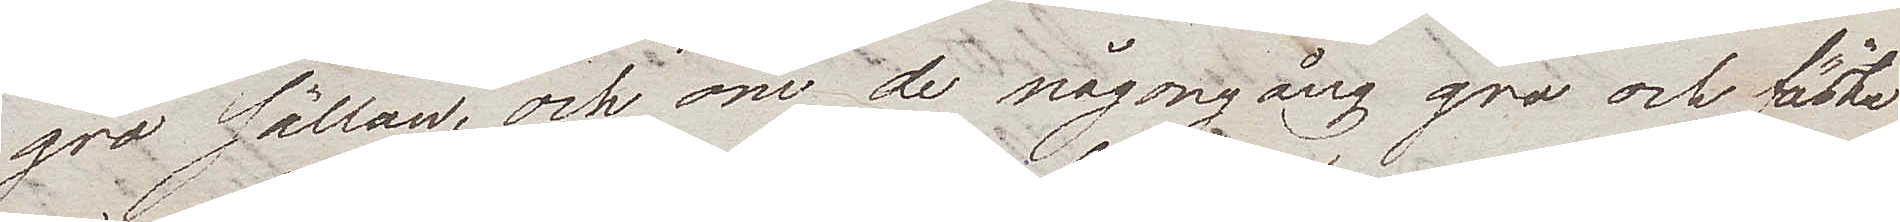gro sällan, och om de någongång gro och fästa
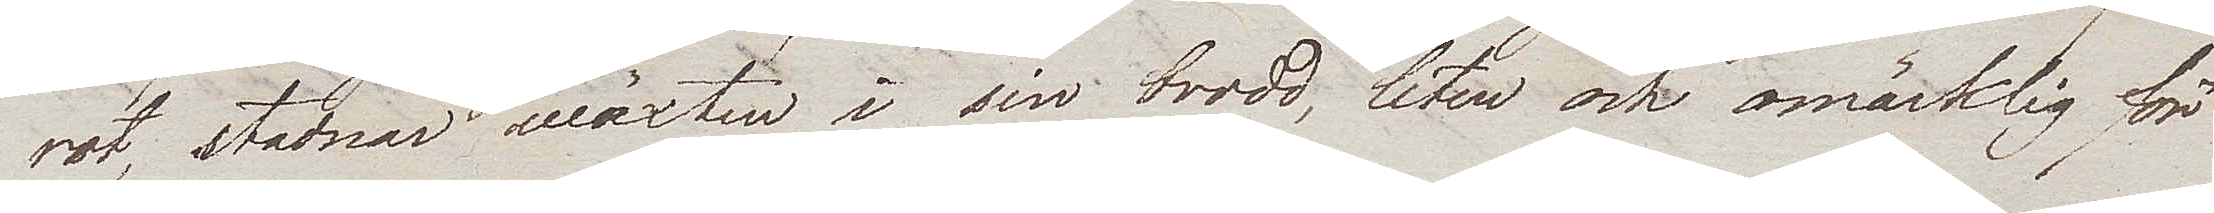rot, stadnar wäxten i sin brodd, liten och omärklig för
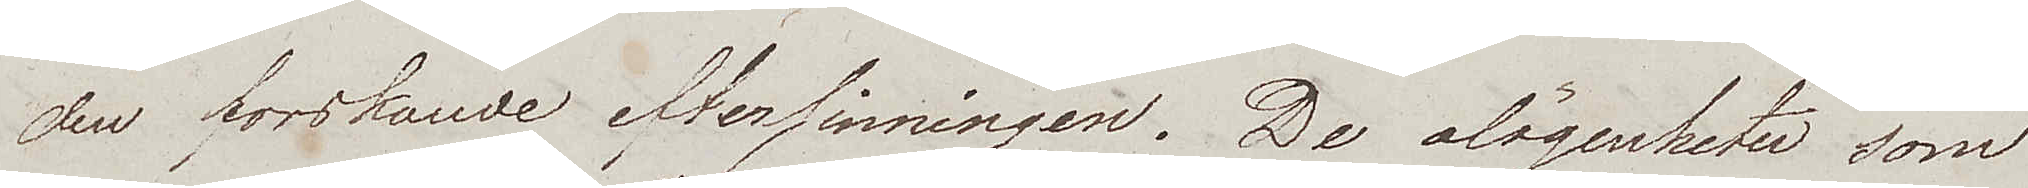den forskande eftersinningen. De olägenheter som
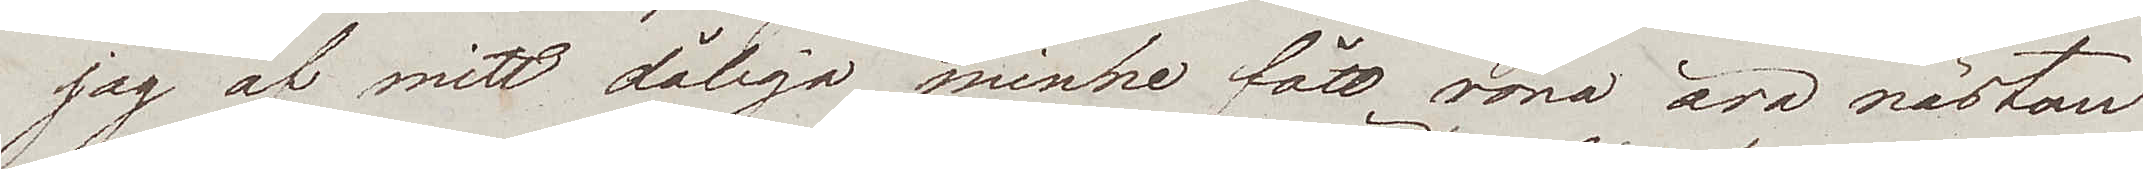jag af mitt dåliga minne fått röna äro nästan
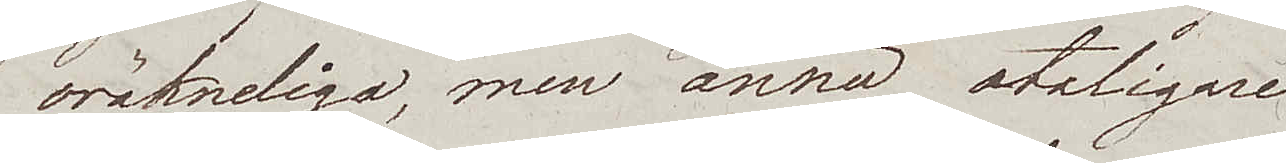oräkneliga, men ännu otaligare
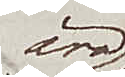äro
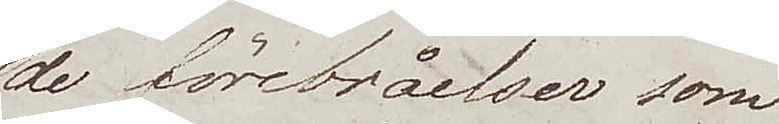de förebråelser som
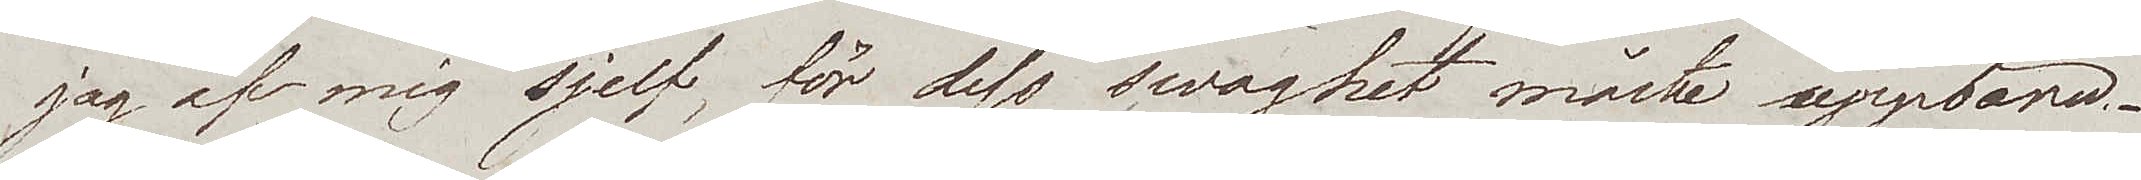jag af mig sjelf, för dess swaghet måste uppbära.
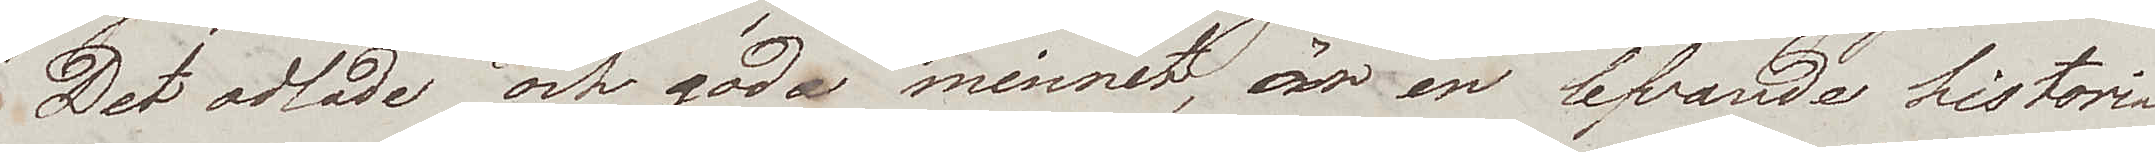Det odlade och goda minnet, är en lefvande historia
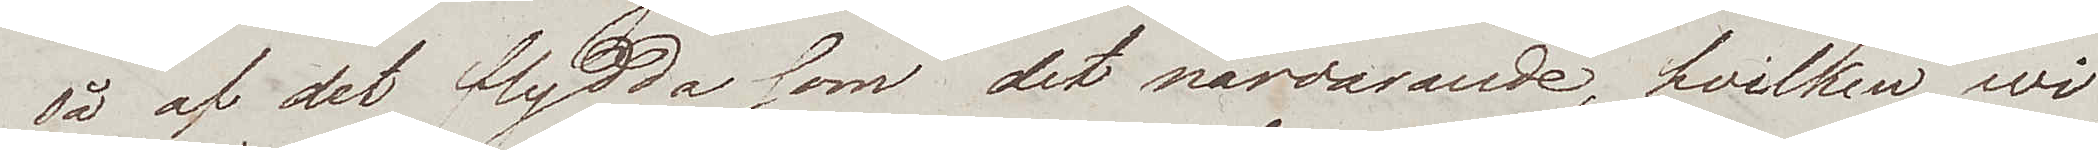så af det flydda som det närvarande, hvilken wi
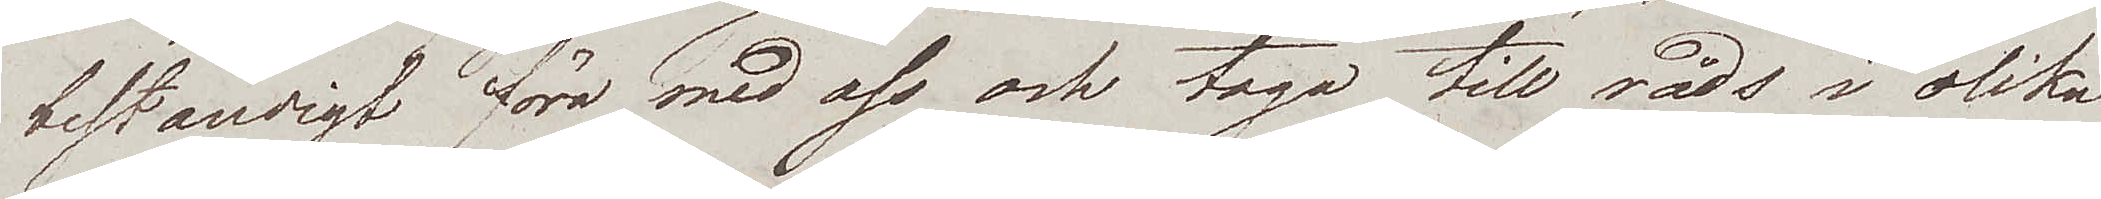beständigt föra med oss och taga till råds i olika
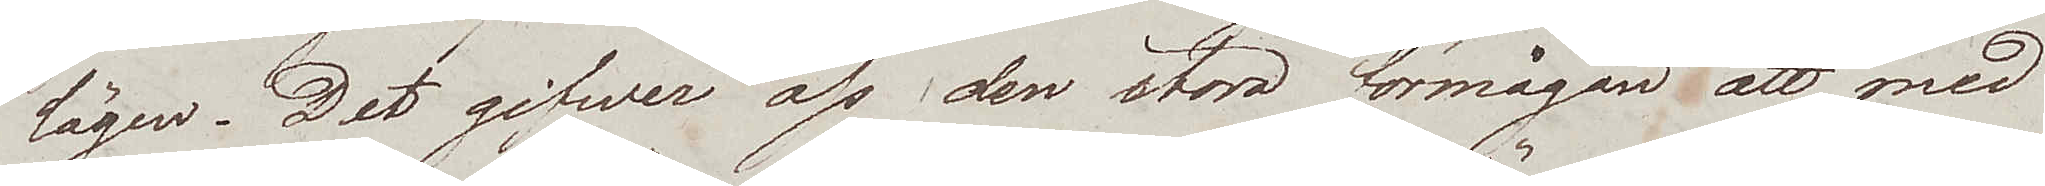lägen. Det gifwer oss den stora förmågan att med
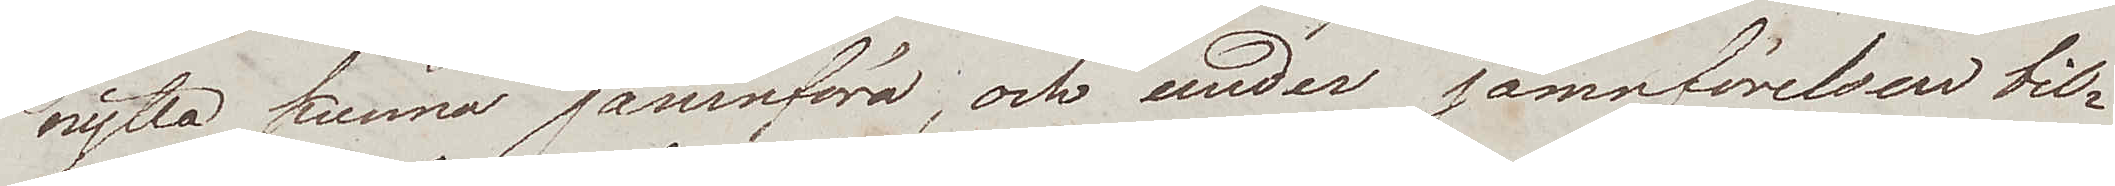nytta kunna jämnföra, och under jämnförelsen bil¬
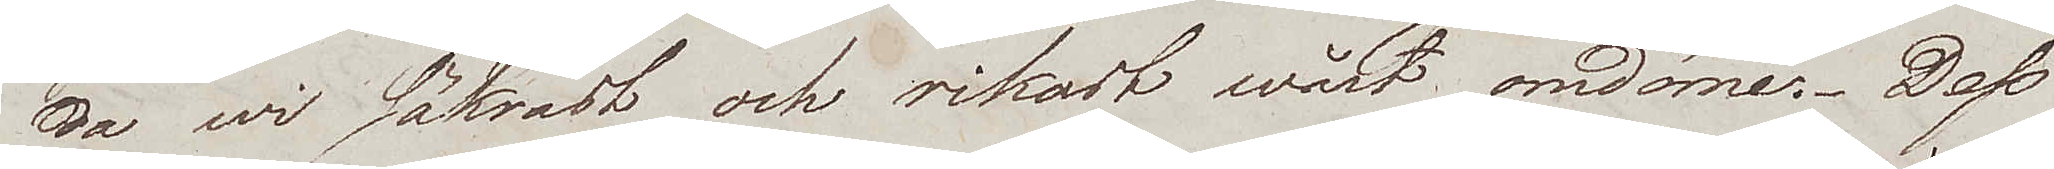da wi säkrast och rikast wårt omdöme. Dess
